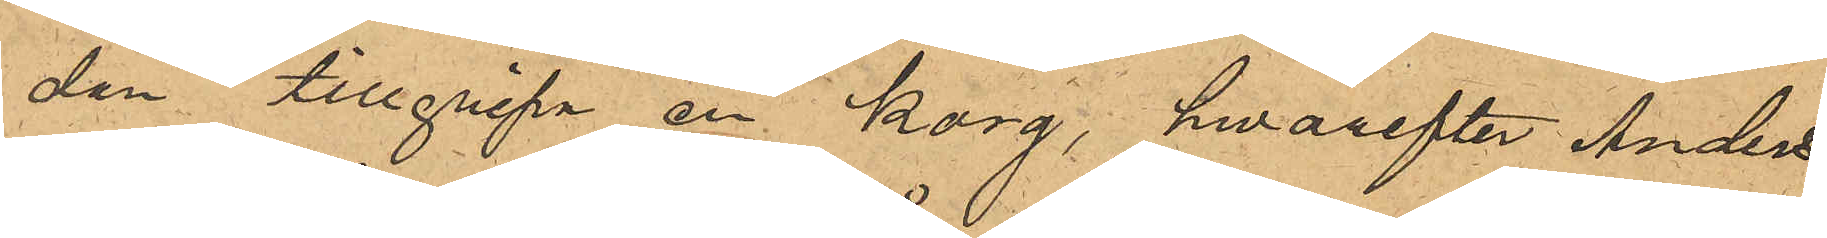don tillgripa en korg, hwarefter Anders¬
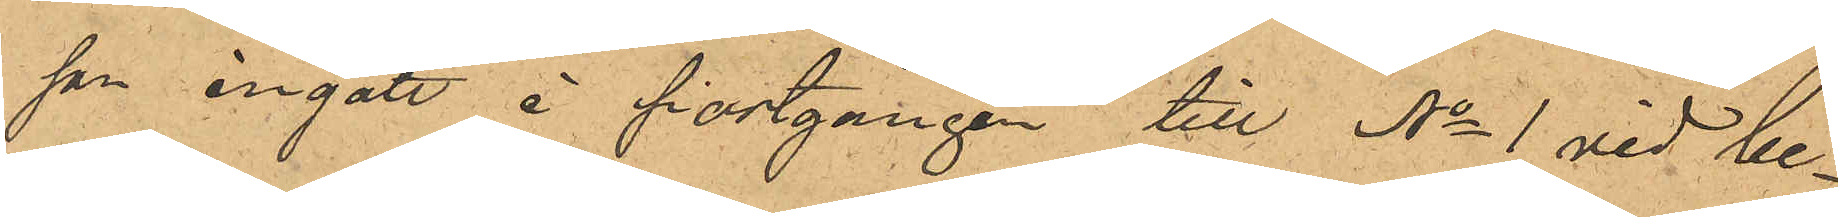son ingått å portgången till No 1 vid be¬
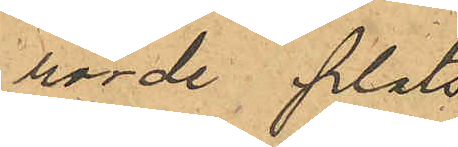rörde plats.
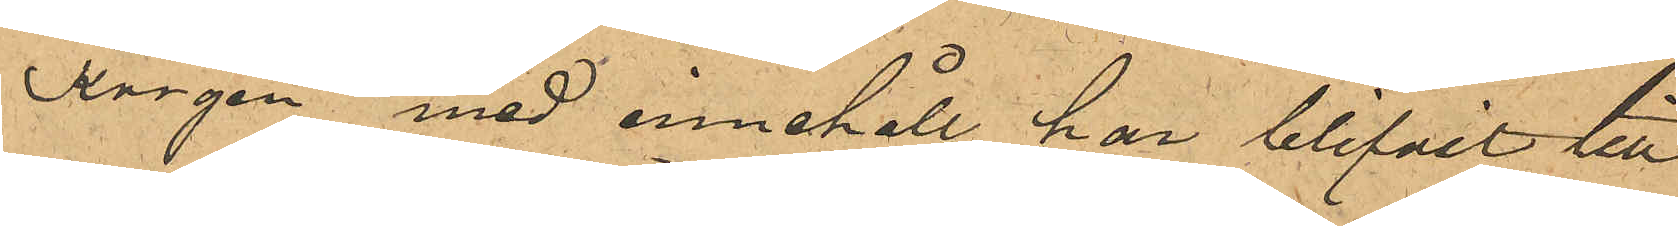Korgen med innehåll har blifvit till
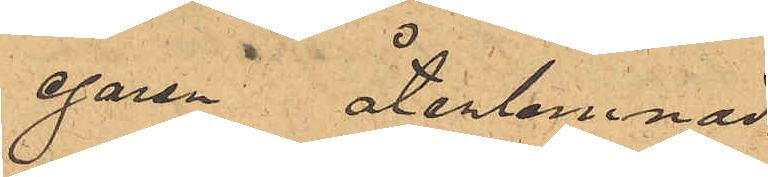egaren återlemnad.
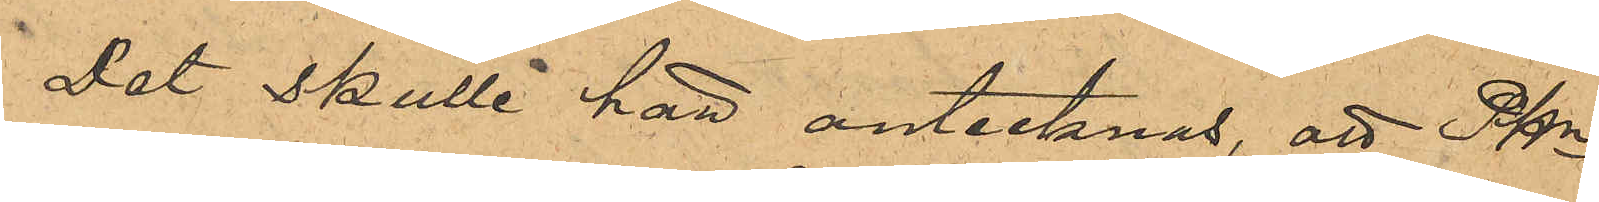Det skulle här antecknas, att PKn
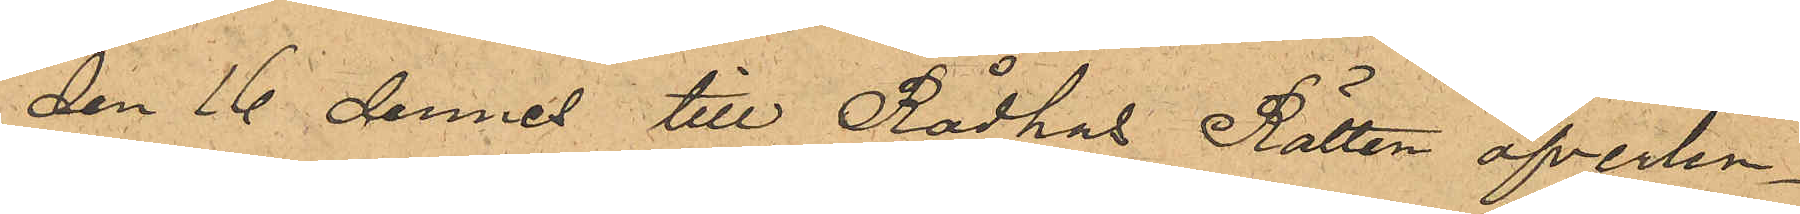den 16 dennes till Rådhus Rätten öfverlem¬
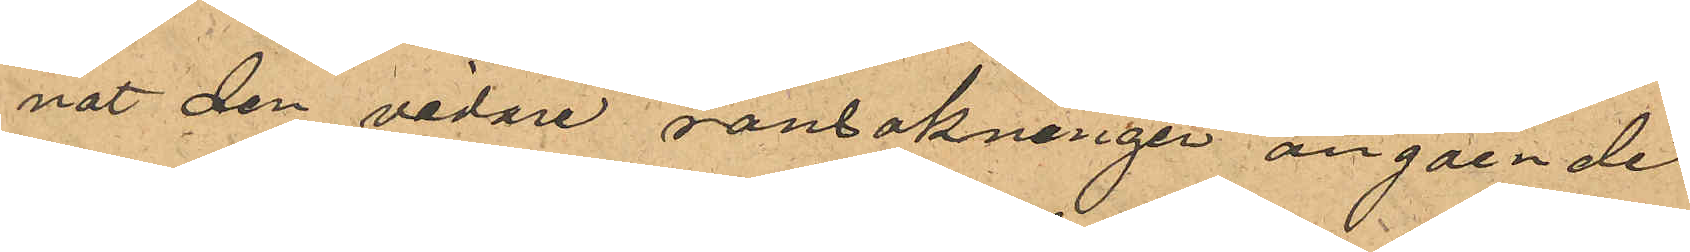nat den vidare ransakningen angående
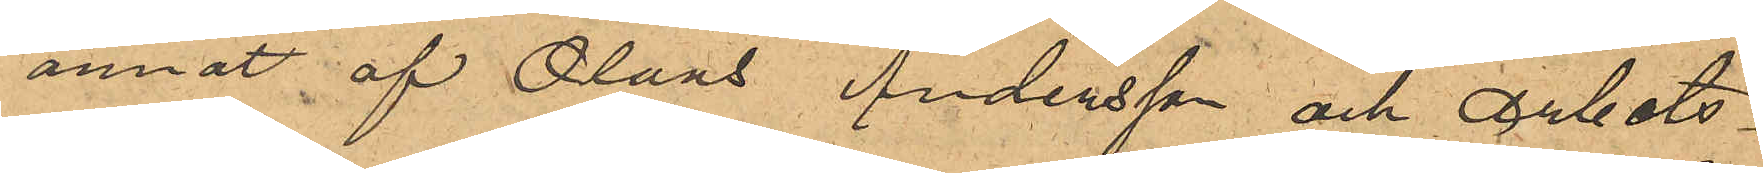annat af Olaus Andersson och Arbets¬
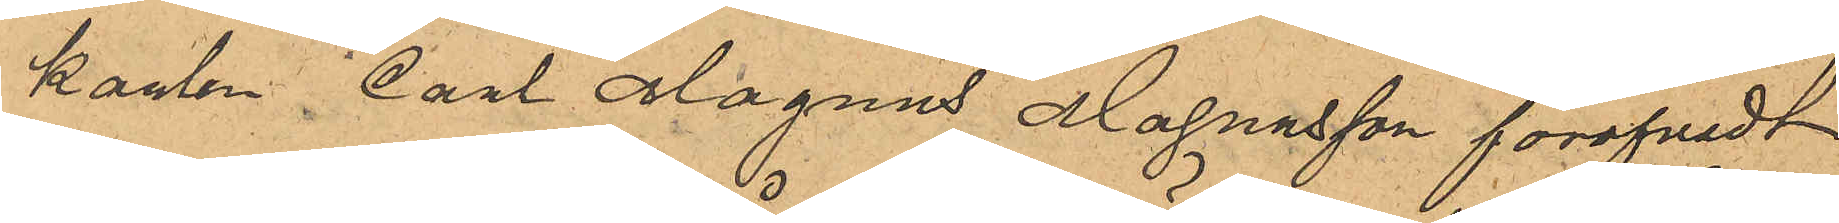karlen Carl Magnus Magnusson föröfvadt
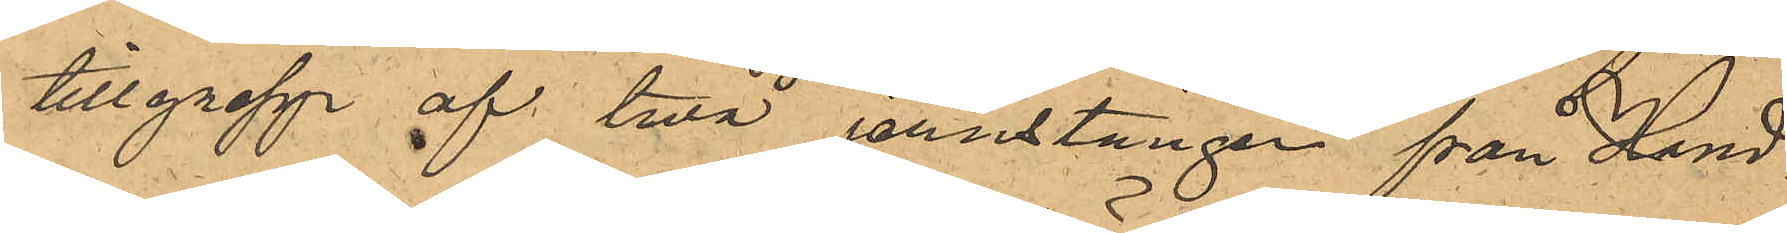tillgrepp af twå järnstänger från Hand¬
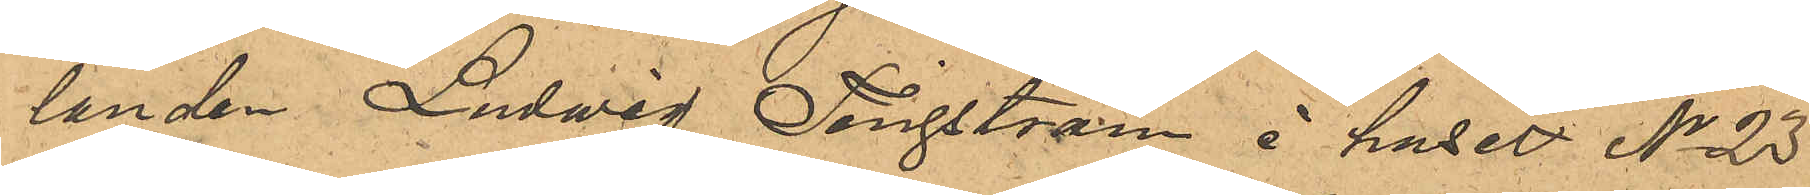landen Ludwig Tingström i huset No 23
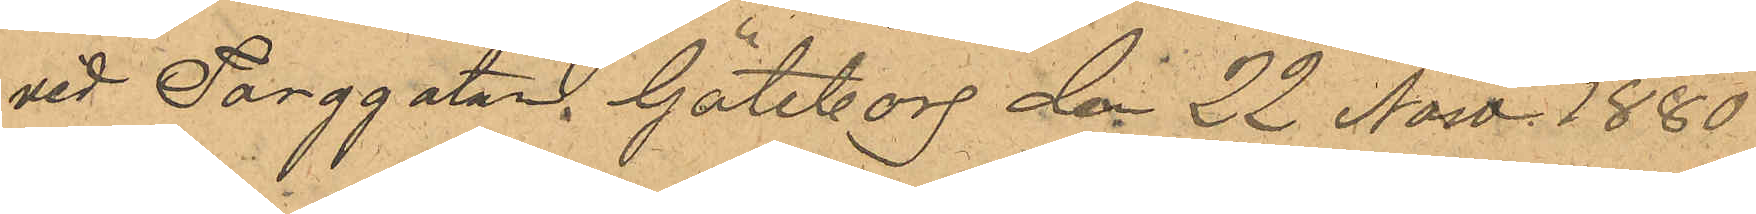vid Torggatan. Göteborg den 22 Now. 1880.
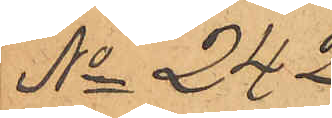No 242
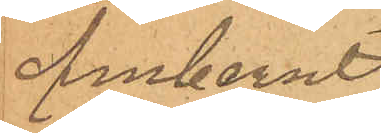Ambernt
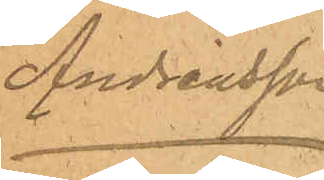Andreasson
